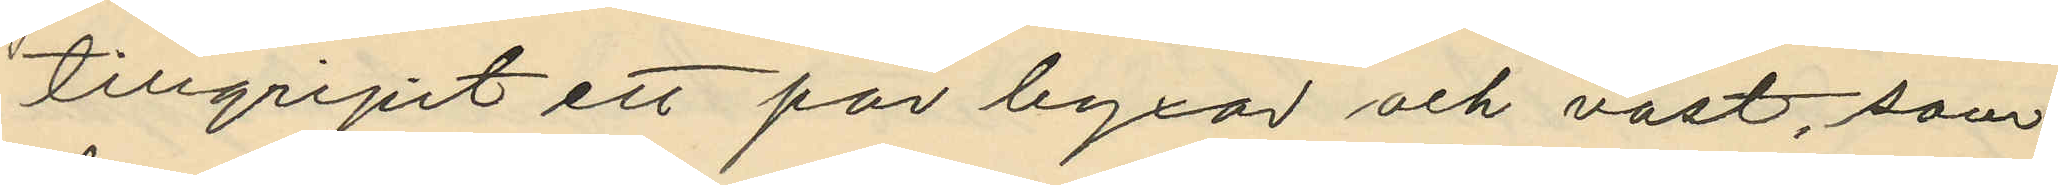tillgripit ett par byxor och väst, som
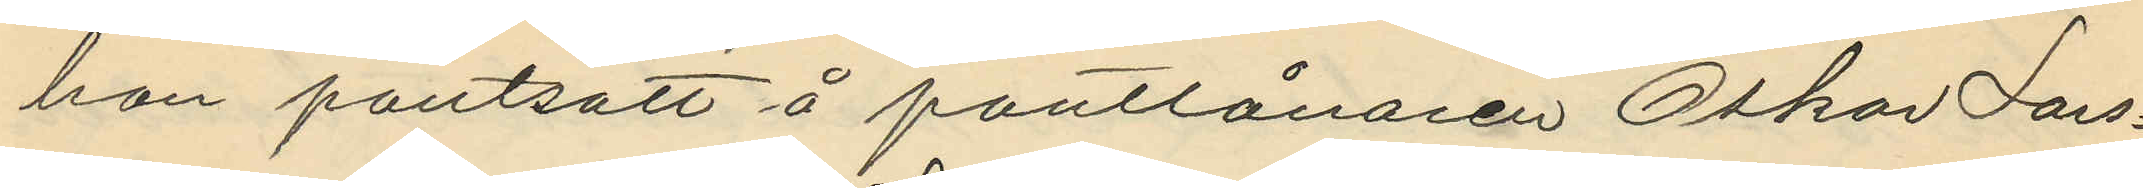han pantsatt å pantlånaren Oskar Lars¬
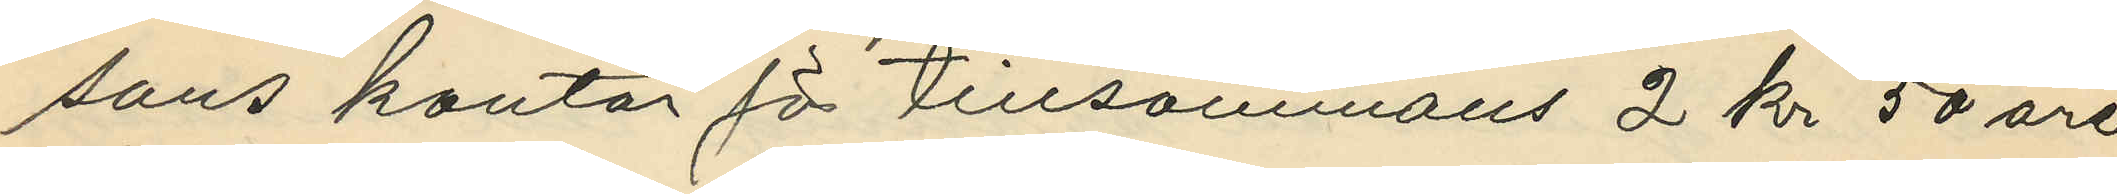sons kontor för tillsammans 2 kr 50 öre
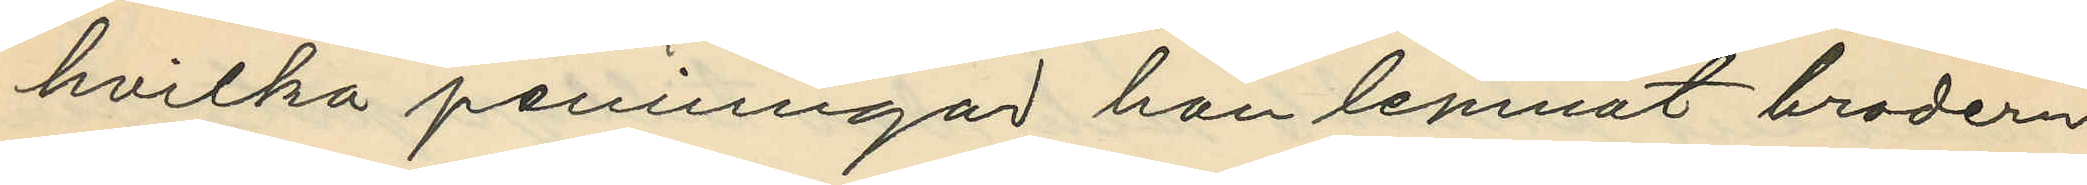hvilka penningar han lemnat brodern
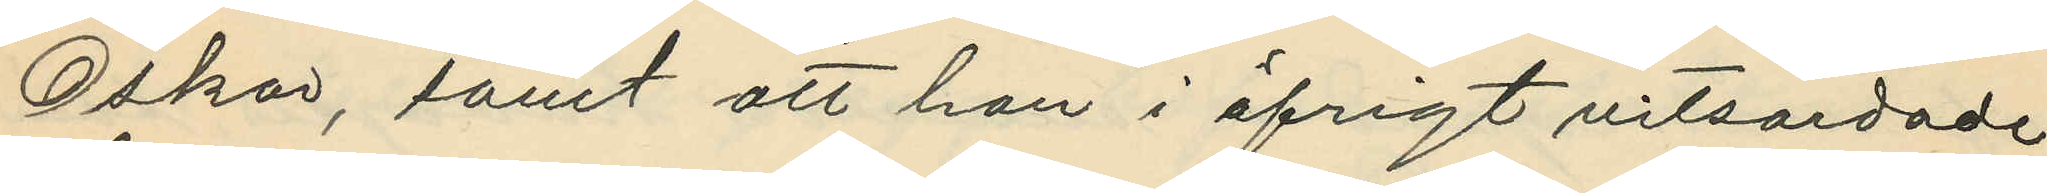Oskar, samt att han i öfrigt vitsordade
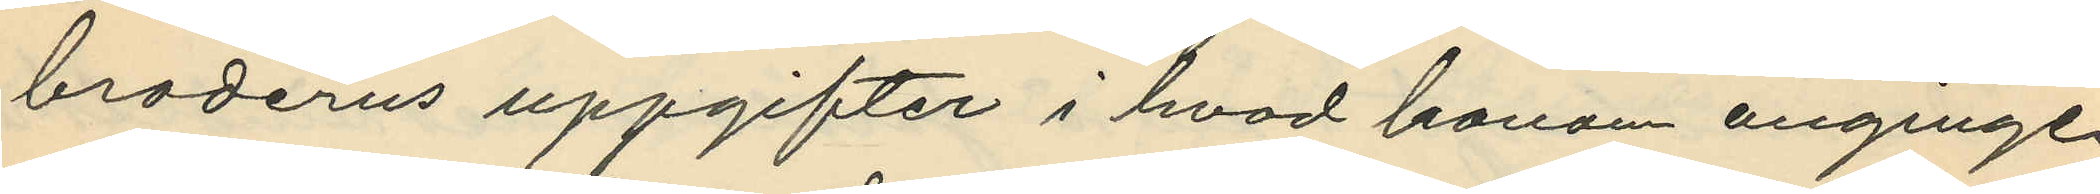broderns uppgifter i hvad honom anginge.
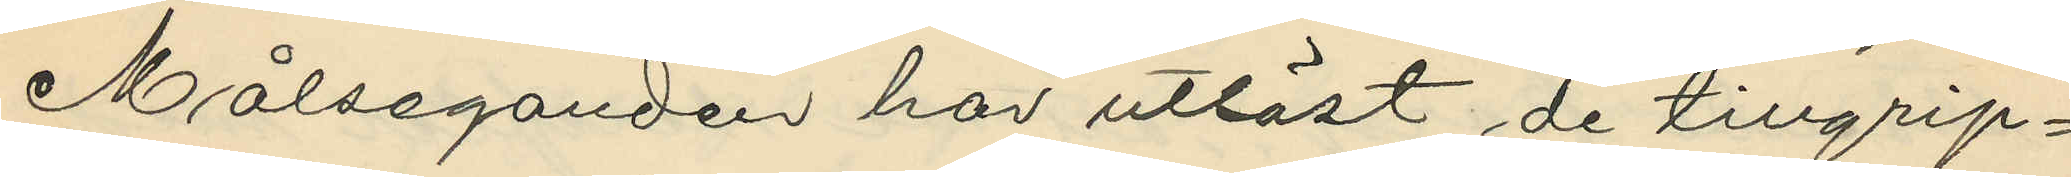Målseganden har utlöst de tillgrip¬
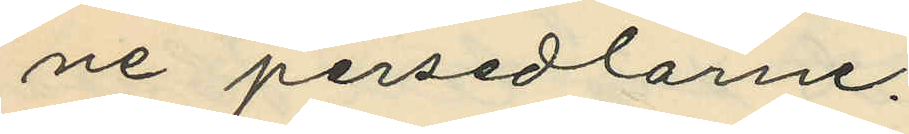ne persedlarne.
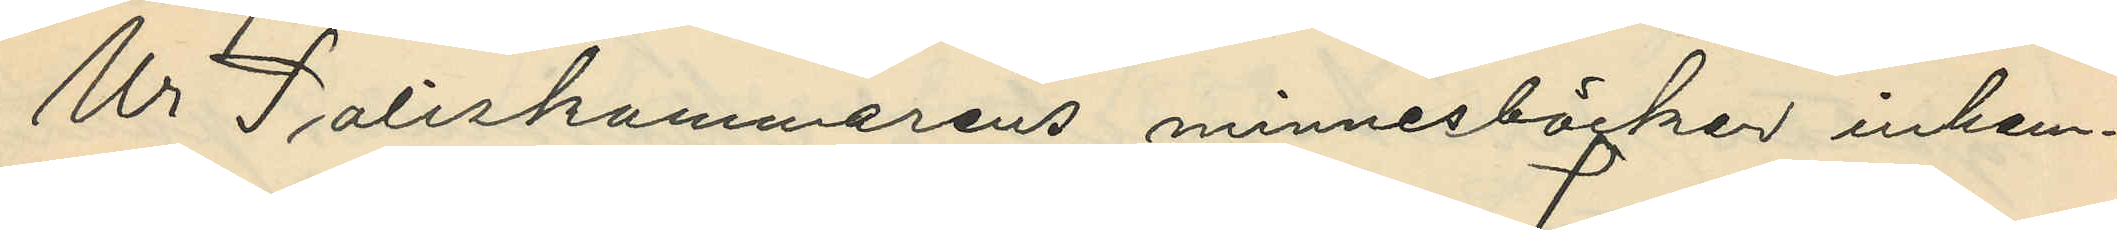Ur Poliskammarens minnesböcker inhem¬
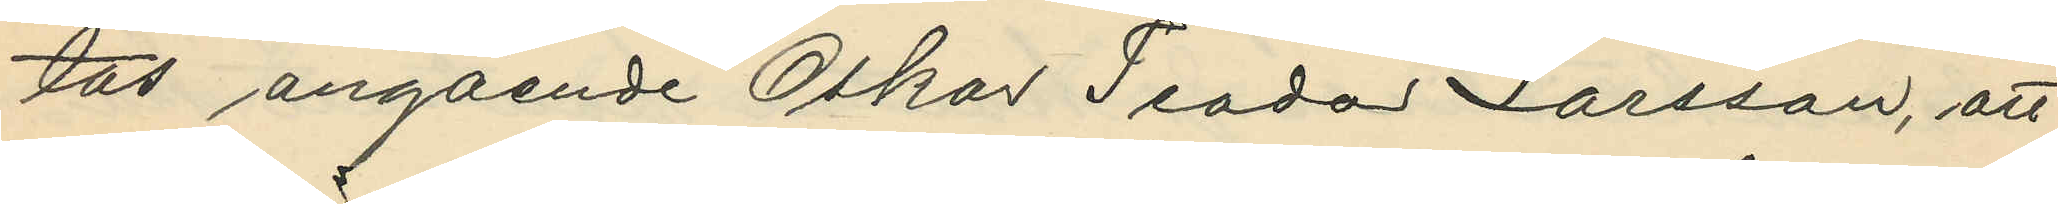tas angående Oskar Teodor Larsson, att
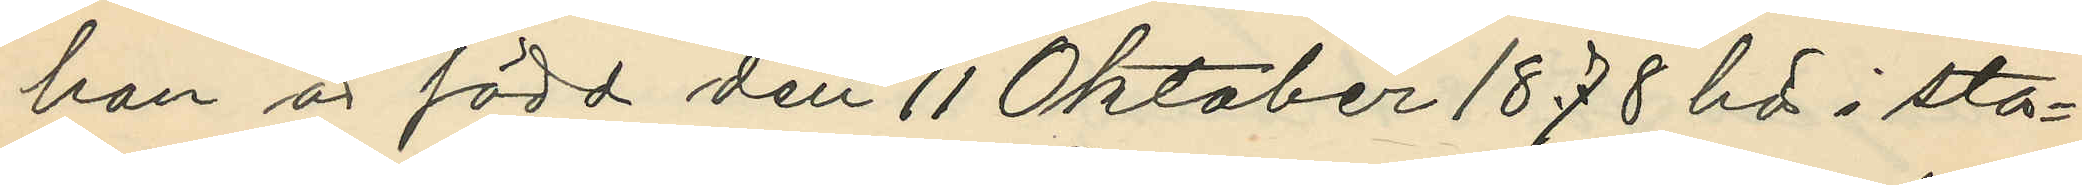han är född den 11 Oktober 1878 här i sta¬
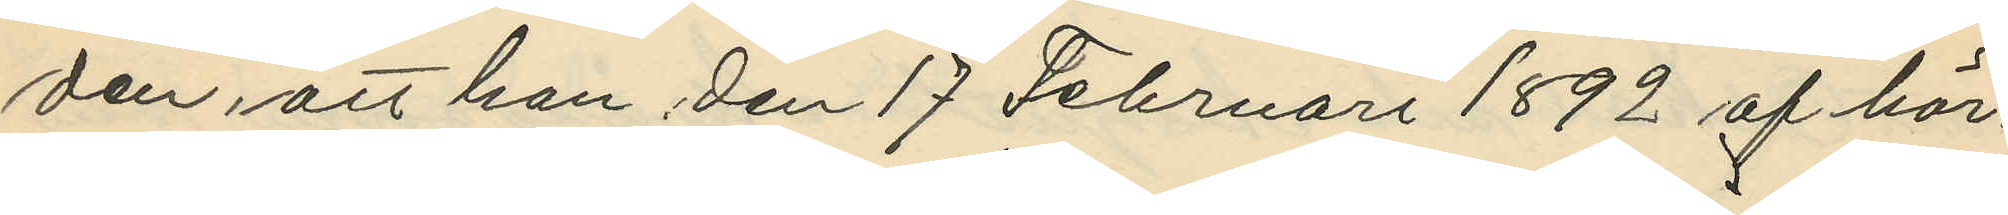den, att han den 17 Februari 1892 af här¬
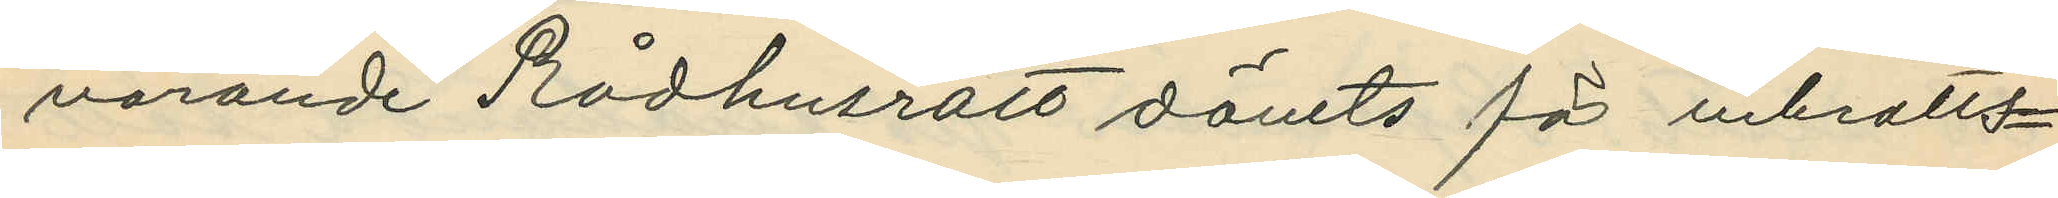värande Rådhusrätt dömts för inbrotts¬
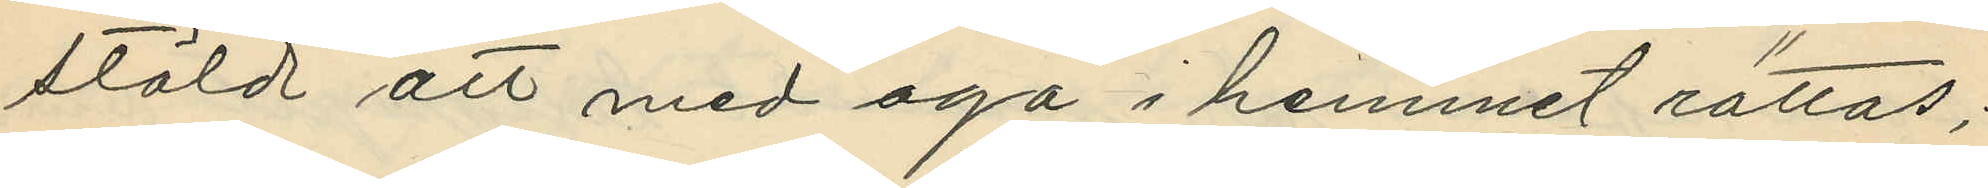stöld att med aga i hemmet rättas;
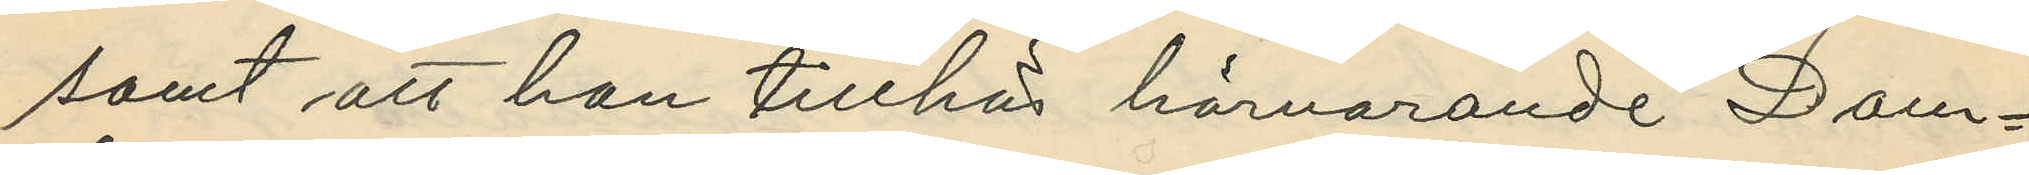samt att han tillhör härvarande Dom¬
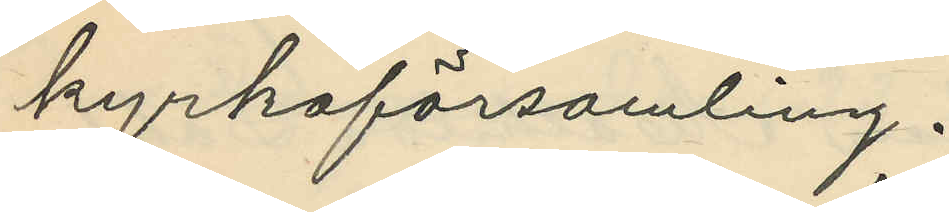kyrkoförsamling.
